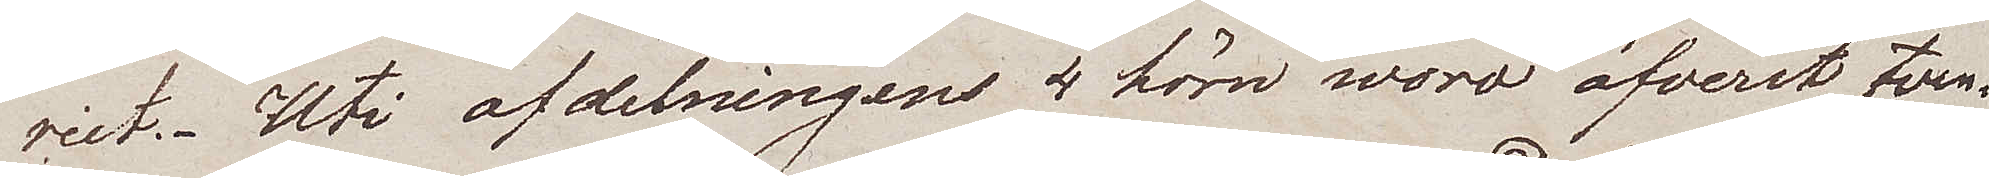riet. Uti afdelningens 4 hörn woro öfverst tven¬
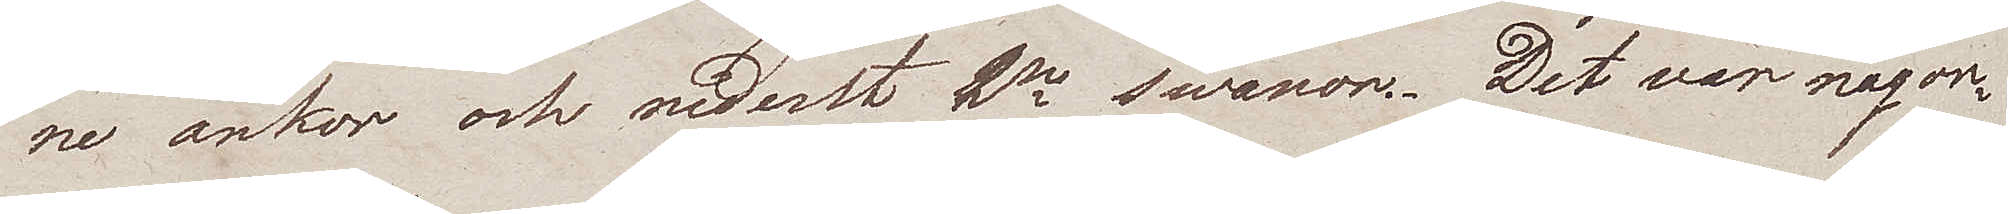ne ankor och nederst 2ne swanor. Det var någon¬
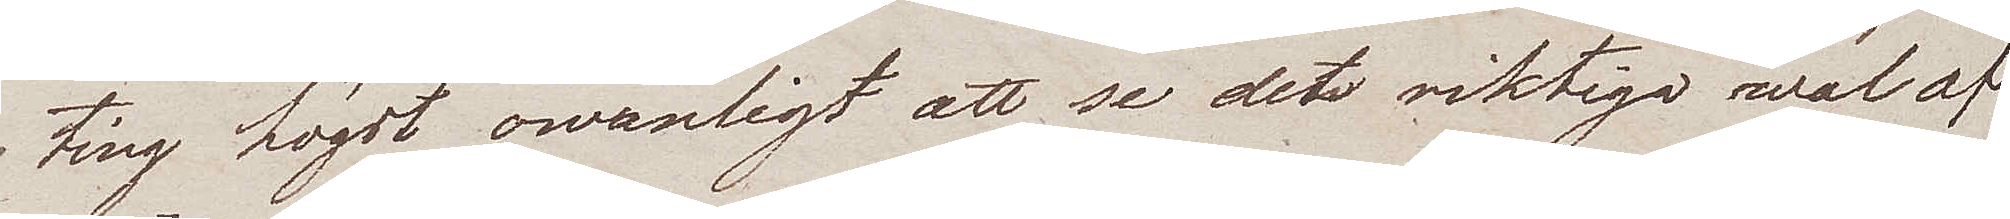ting högst ovanligt att se det riktiga wal af
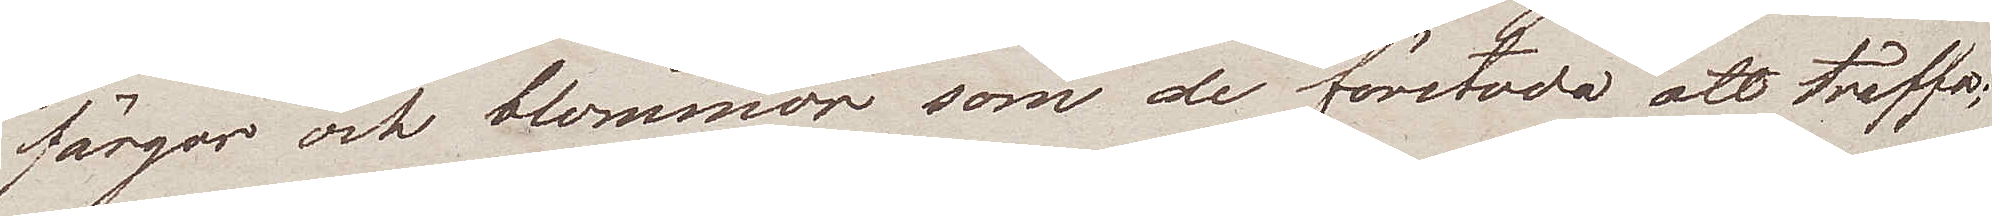färgor och blommor som de förstodo att träffa;
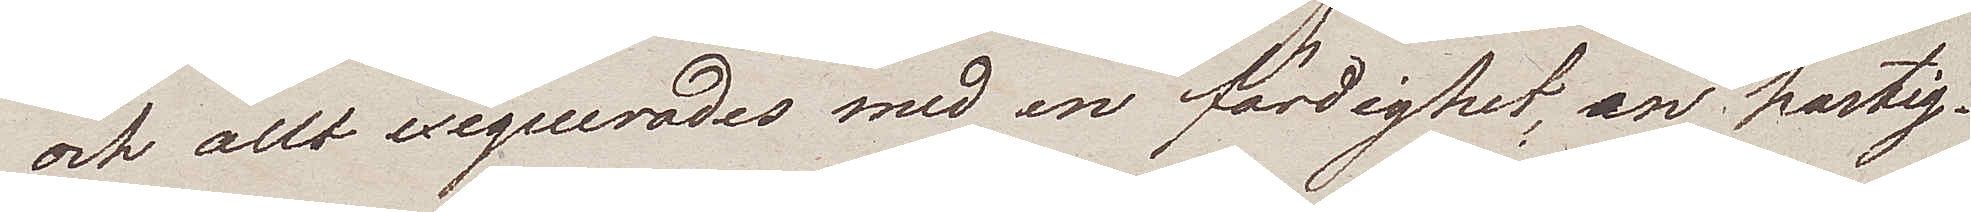och allt exequerades med en färdighet, en hastig¬
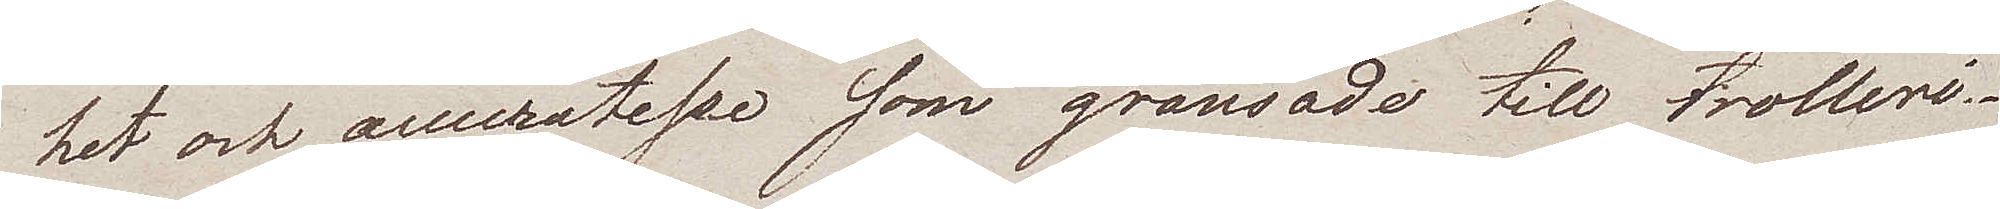het och accuratesse som gränsade till trolleri.
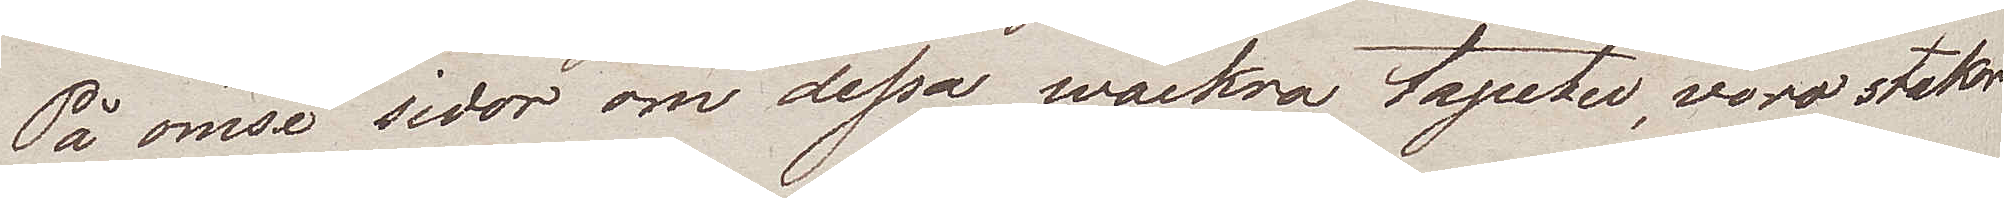På ömse sidor om dessa wackra tapeter, voro stakor
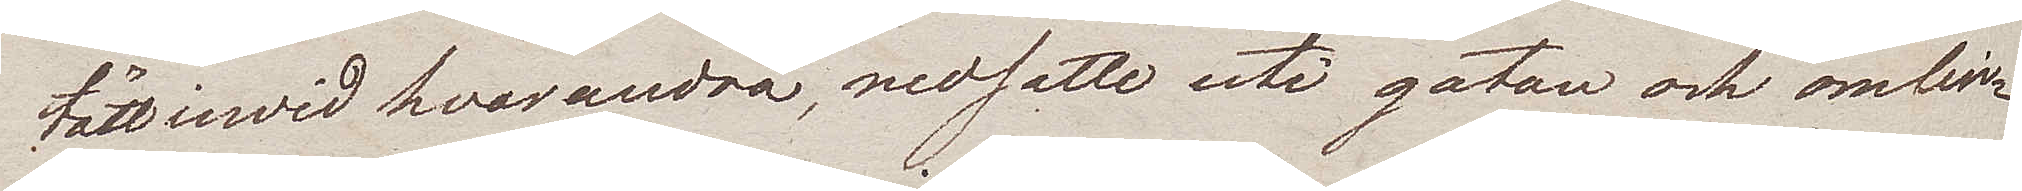tätt inwid hvarandra, nedsatte uti gatan och omlin¬
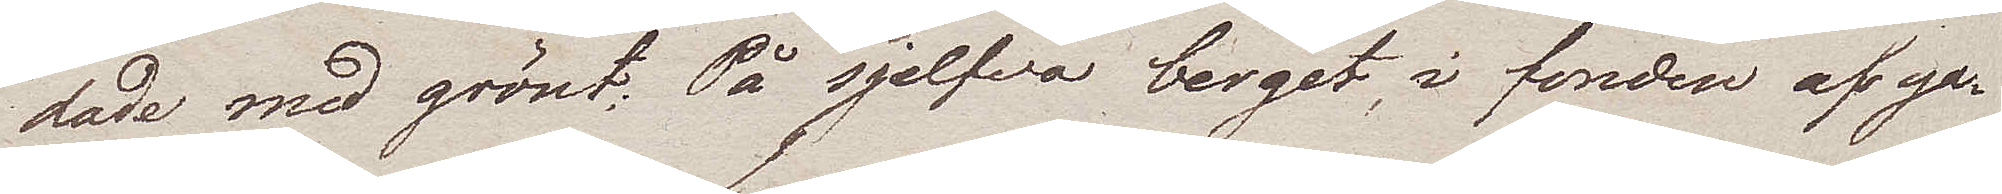dade med grönt. På sjelfva berget, i fonden af ga¬
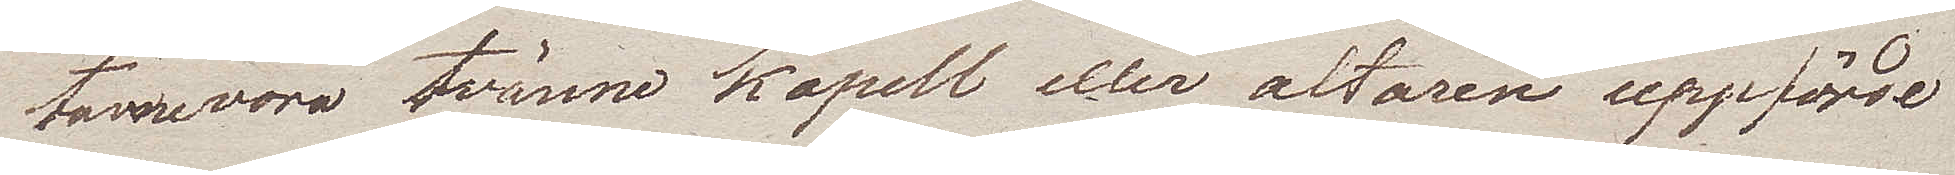torne voro tvänne kapell eller altaren uppförde
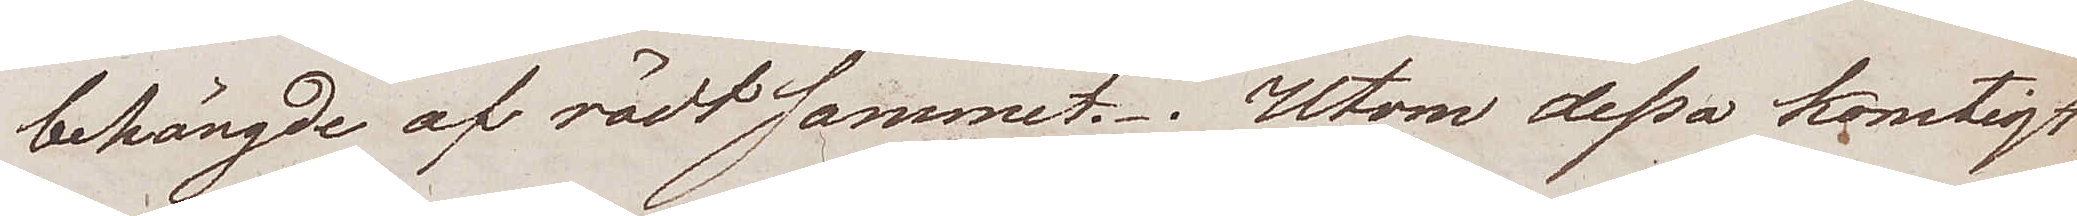behängde af rödt sammet. Utom dessa konstigt
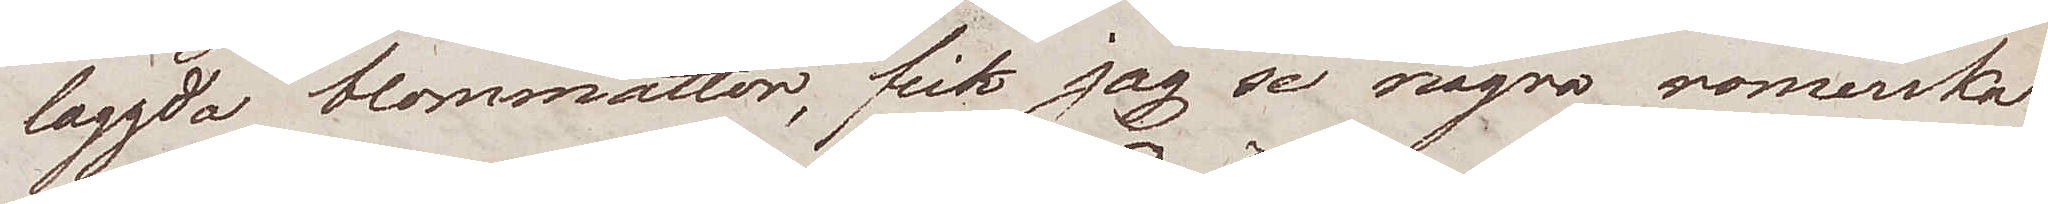läggda blommattor, fick jag se några romerska
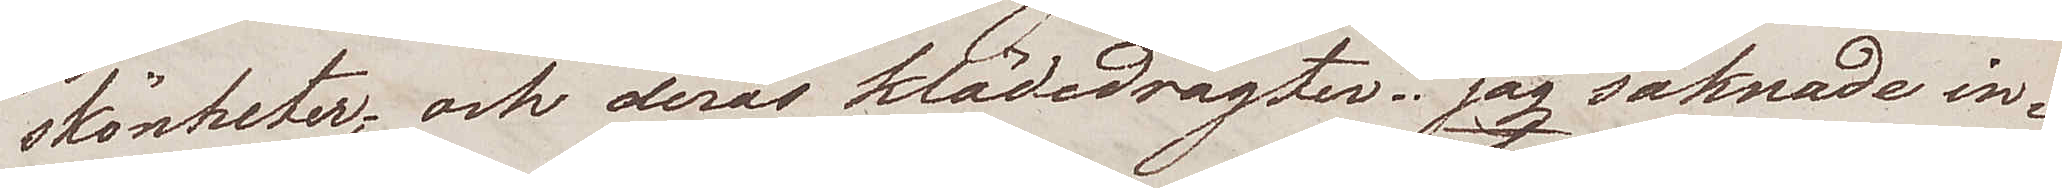skönheter; och deras klädedrägter. jag saknade in¬
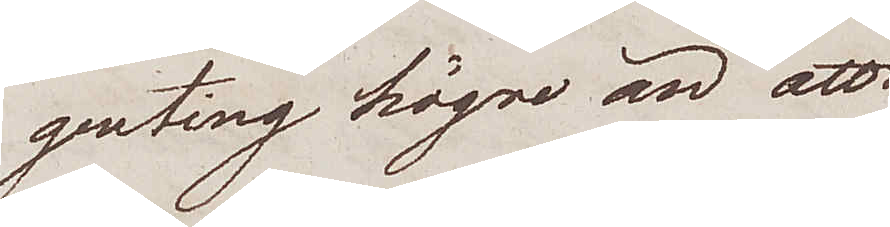genting högre än att
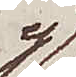ej
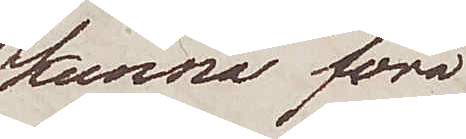kunna föra
